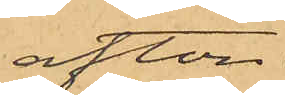afton
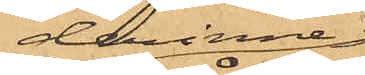derinne
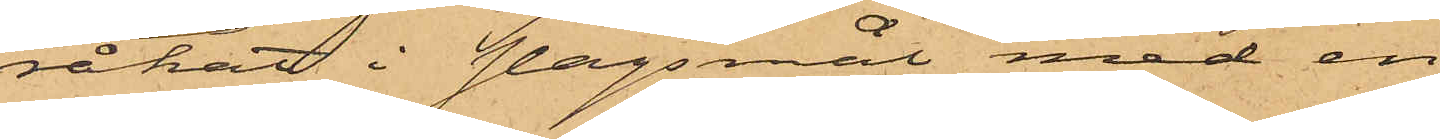råkat i slagsmål med en
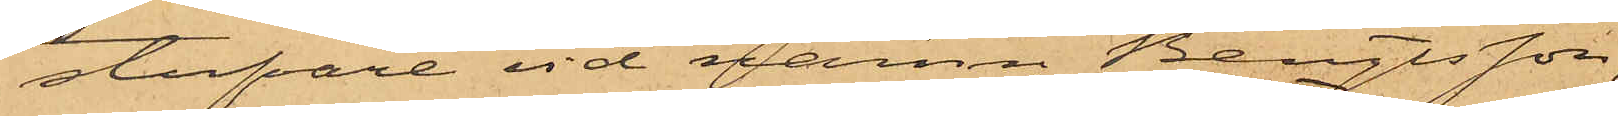stufvare vid namn Bengtsson,
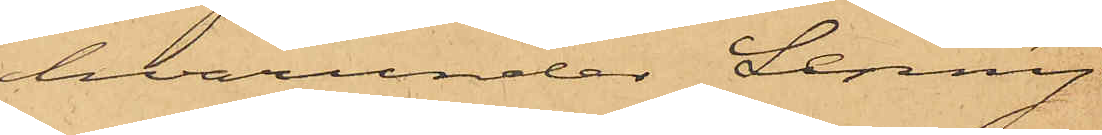hvarunder Lenny
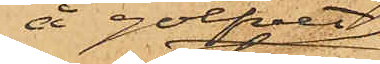å golfvet
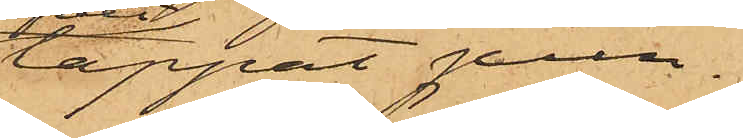tappat pun¬
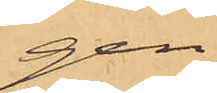gen,
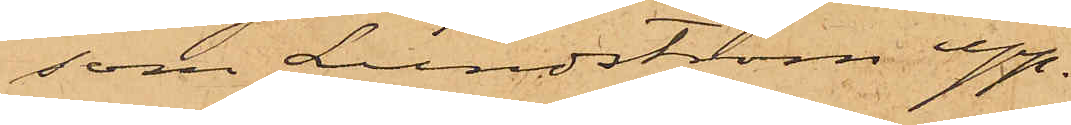som Lundström upp¬
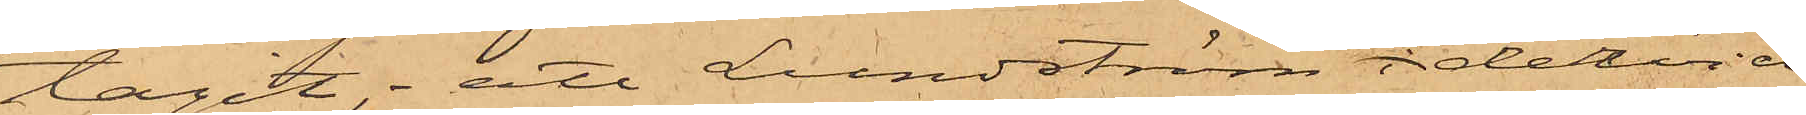tagit; att Lundström i dervid
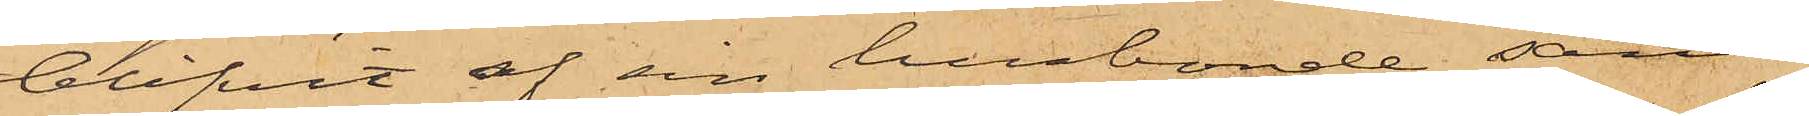blifvit af sin husbonde sänd
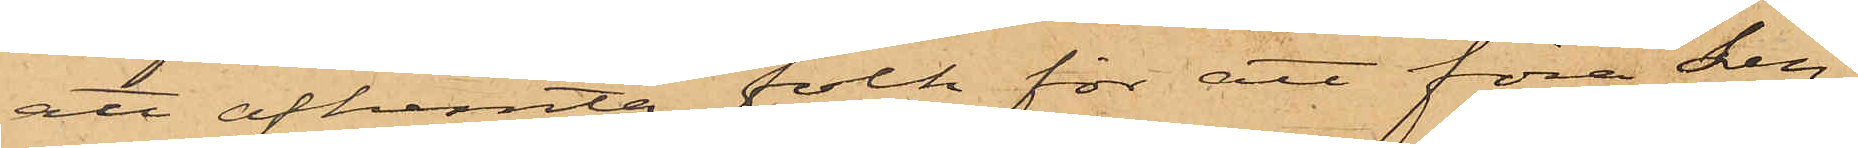att afhemta folk för att föra Len¬
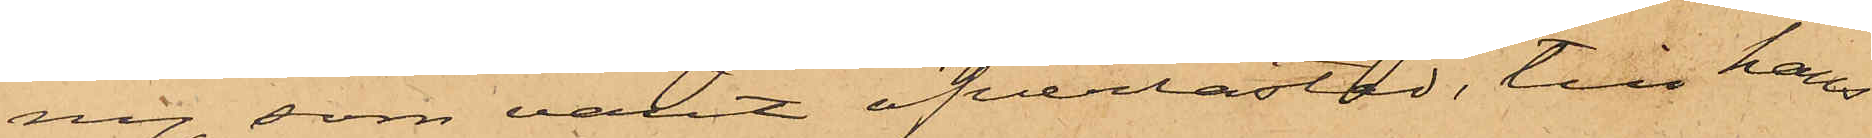ny, som varit öfverlastad, till hans
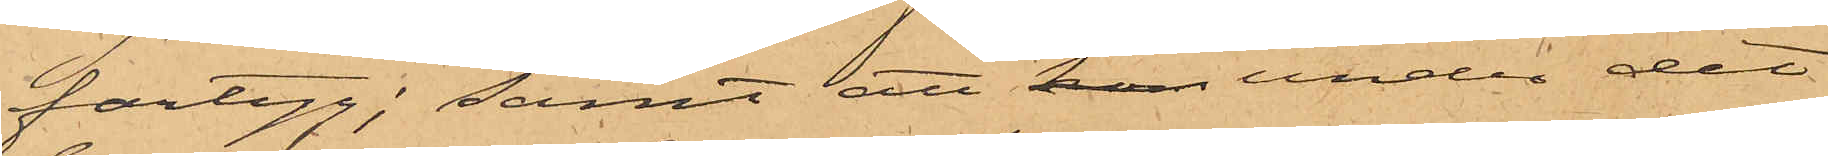fartyg; samt att han under det
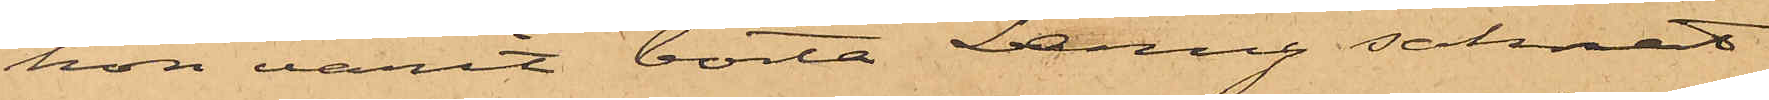hon varit borta Lenny saknat
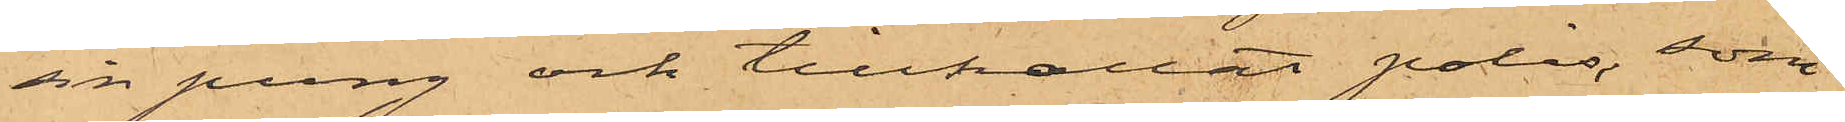sin pung och tillkallat polis, som
